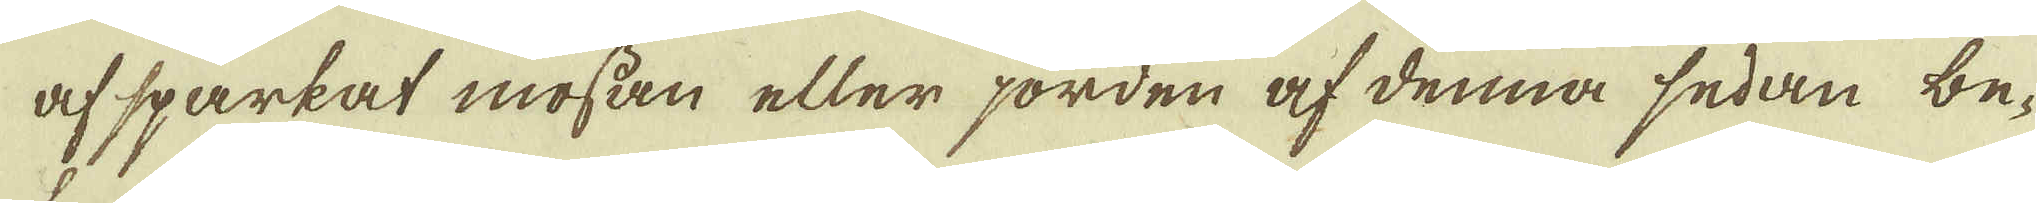af sparkat mossan eller jorden af denna sedan be-
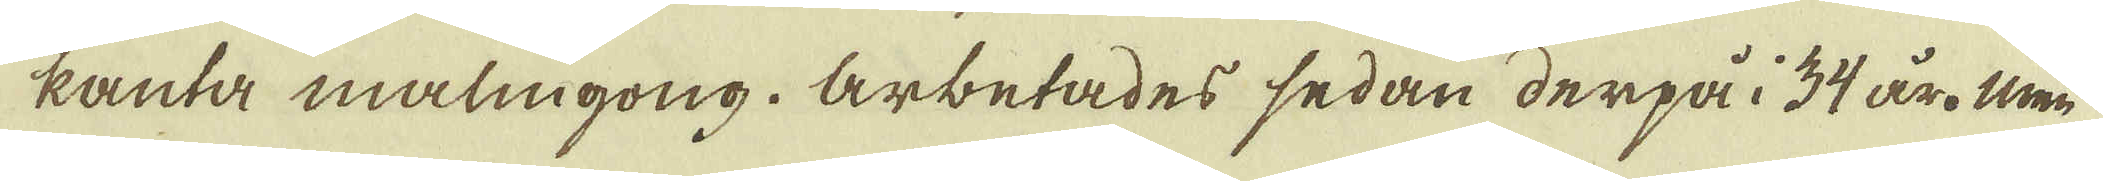kanta malmgong. Arbetades sedan derpå i 34 år. Men
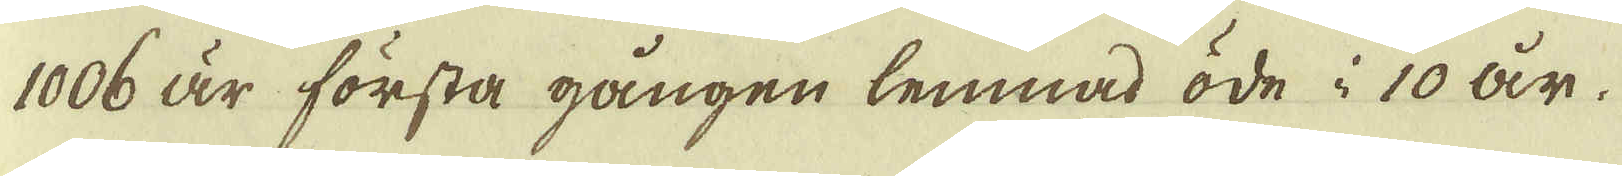1006 är första gången lemnad öde i 10 år.
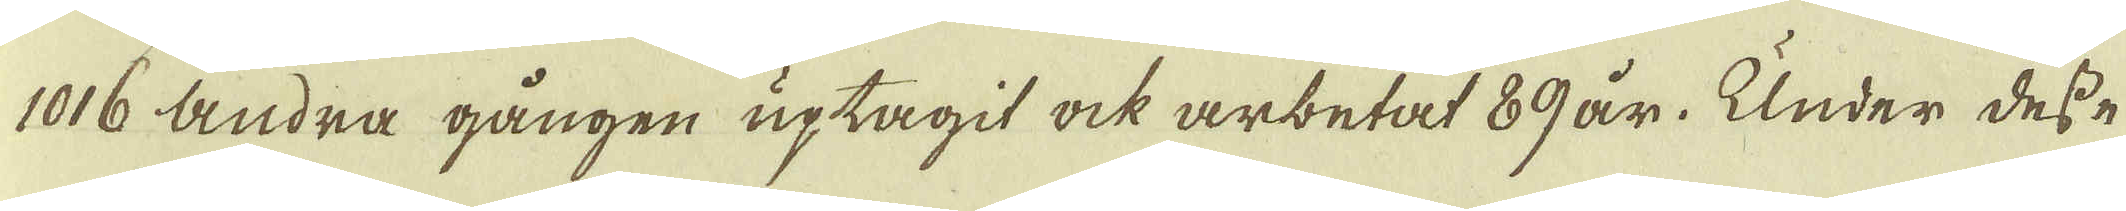1016 andra gången uptagit ock arbetat 89 år. Under desse
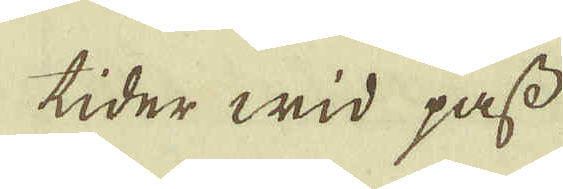tider wid pass
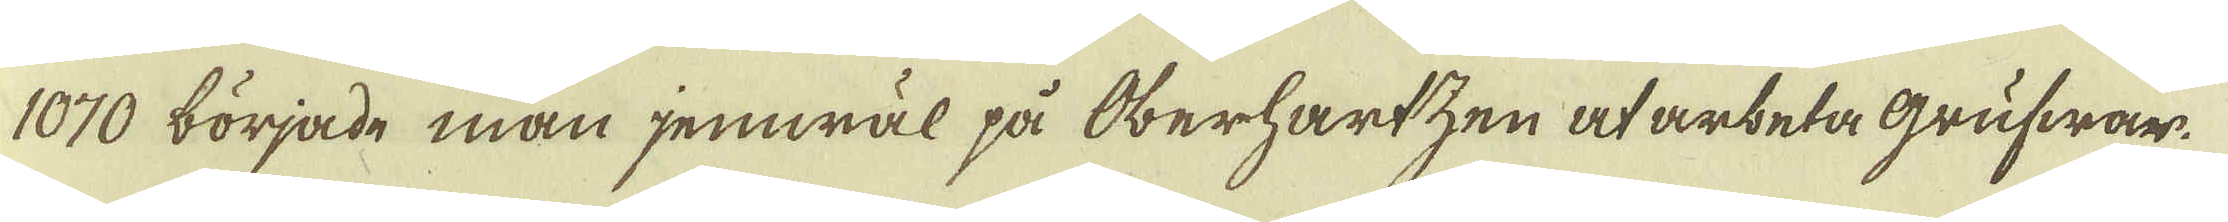1070 började man jemwäl på Oberhartzen at arbeta Grufwar.
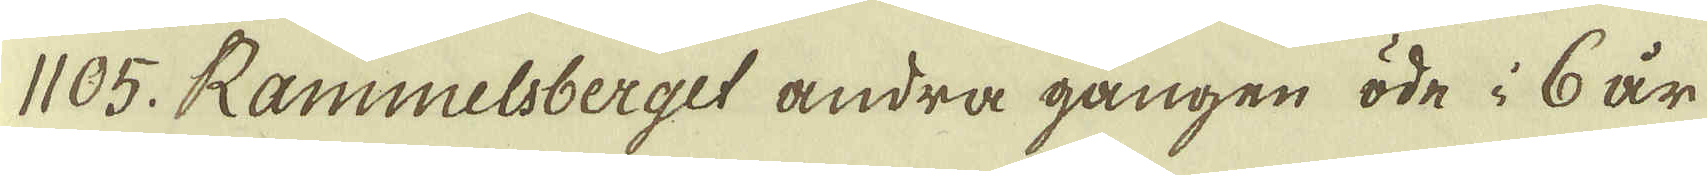1105. Rammelsberget andra gången öde i 6 år
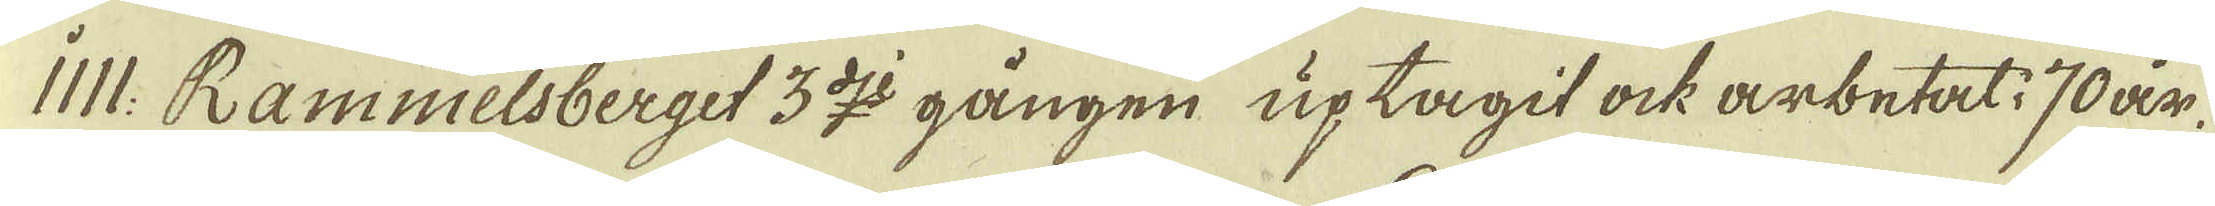IIII: Rammelsberget 3:dje gången uptagit ock arbetat 70 år.
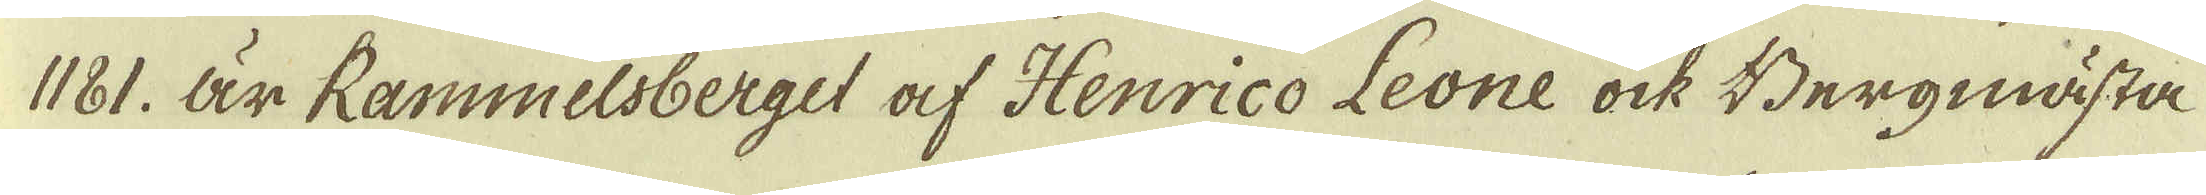1181. Är Rammelsberget af Henrico Leone ock Bergmästa-
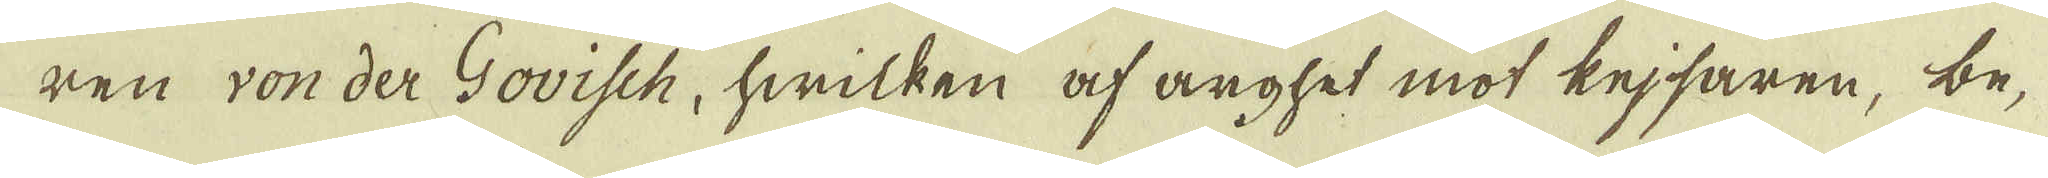ren von der Govisch, hwilken af arghet mot kejsaren, be-
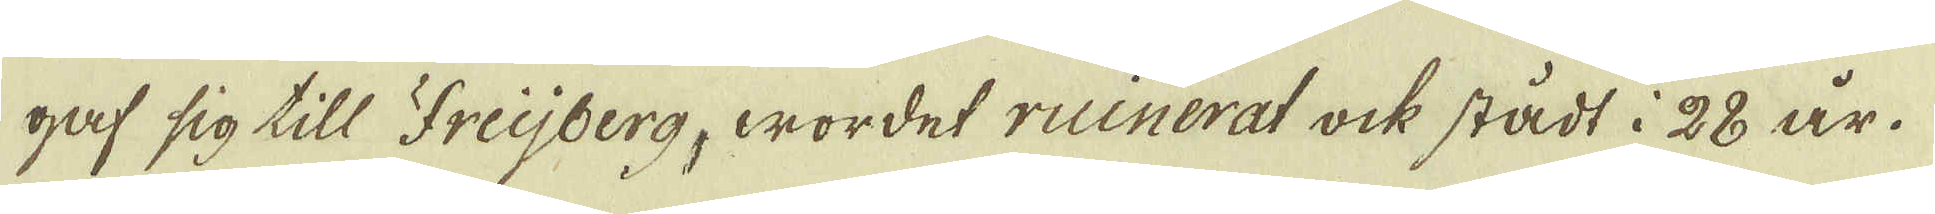gaf sig till Freijberg, wordet ruinerat ock stådt i 28 år.
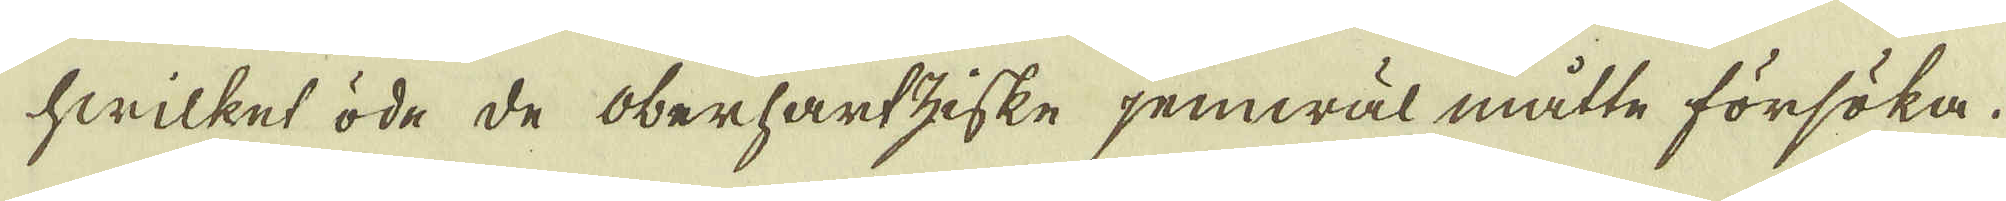hwilket öde de Oberhartziske jemwäl måtte försöka.
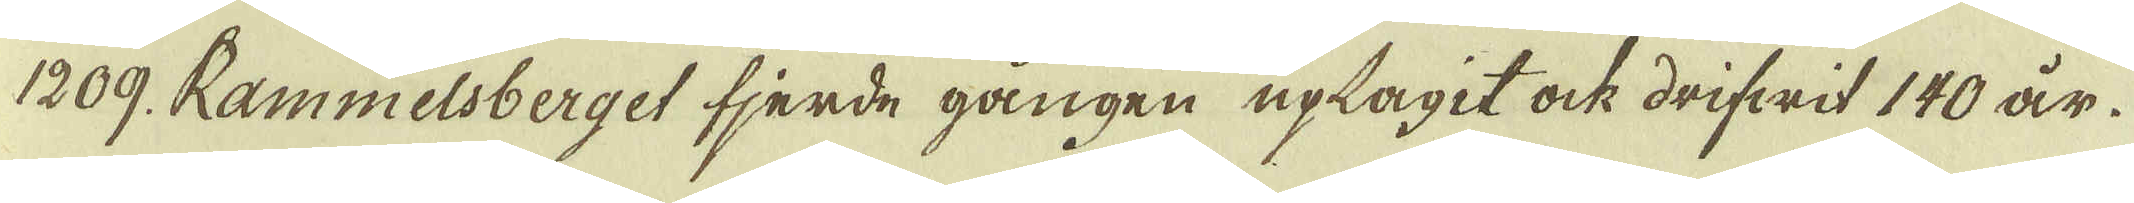1209. Rammelsberget fjerde gången uplagit ock drifwit 140 år.
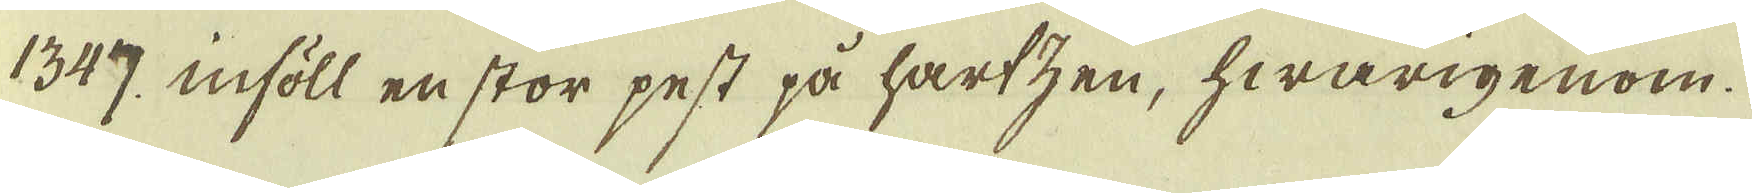1347, inföll en stor pest på hartzen, hwarigenom
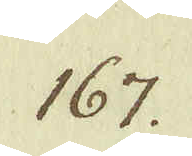167.
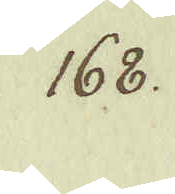168.
